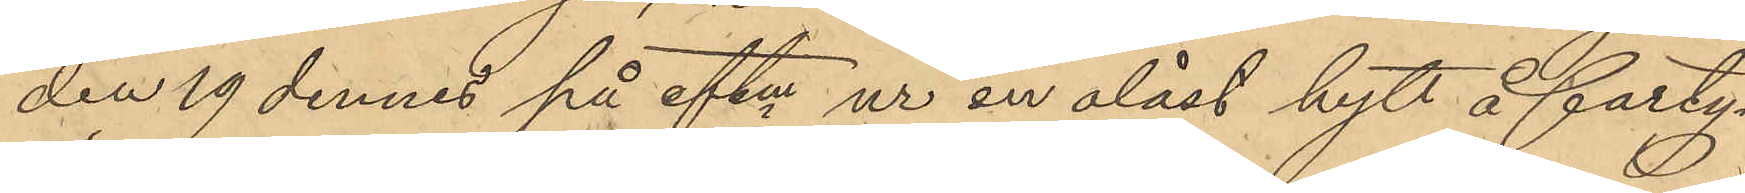den 19 dennes på eftm ur en olåst hytt å farty¬
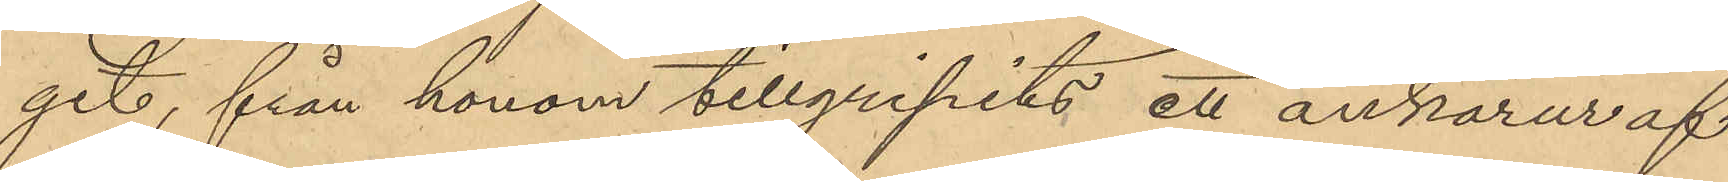get, från honom tillgripits ett ankarur af
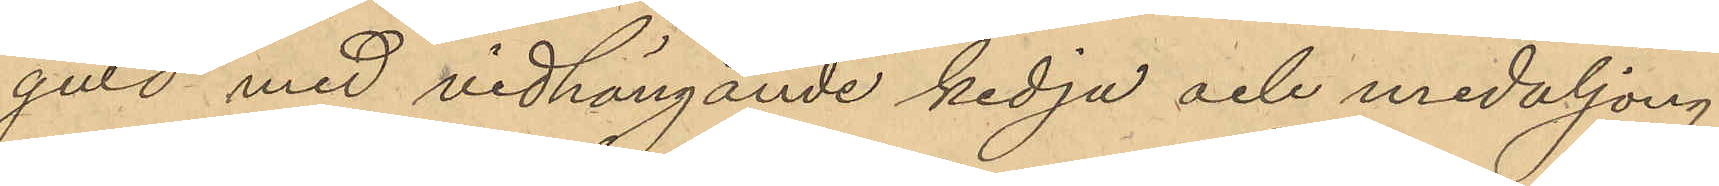guld med vidhängande kedja och medaljong
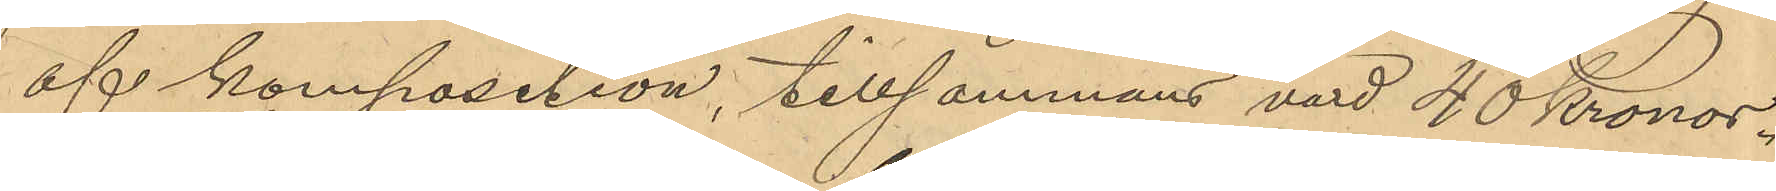af komposition, tillsammans värd 40 Kronor.
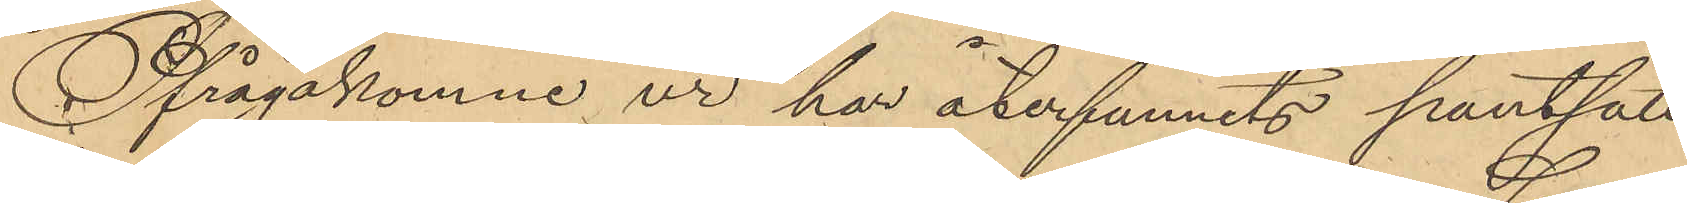Ifrågakomne ur har återfunnits pantsatt
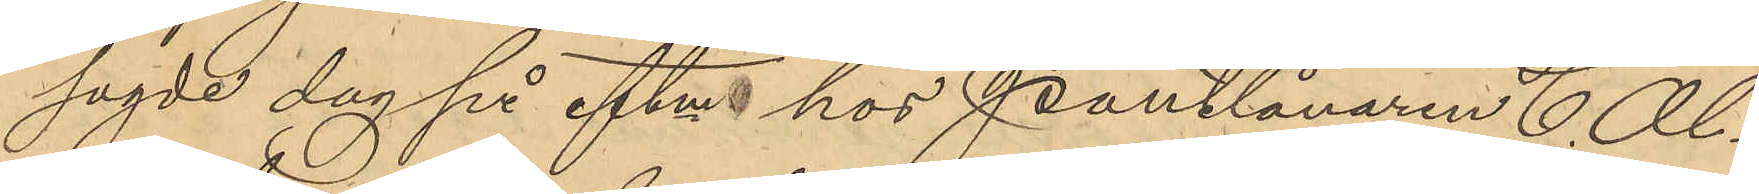sagde dag på eftm hos Pantlånaren C. Al¬
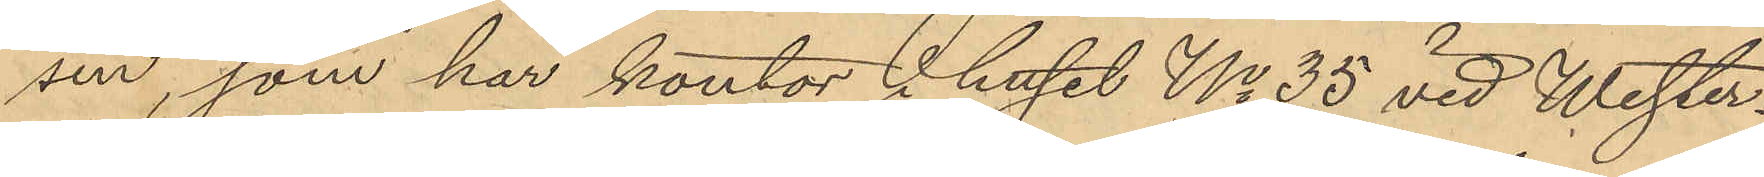sen, som har kontor i huset No 35 vid Wester¬
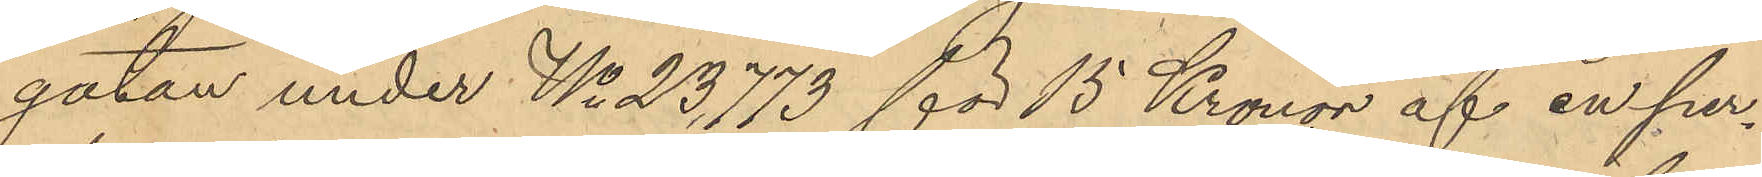gatan under No 23773 för 15 Kronor af en per¬
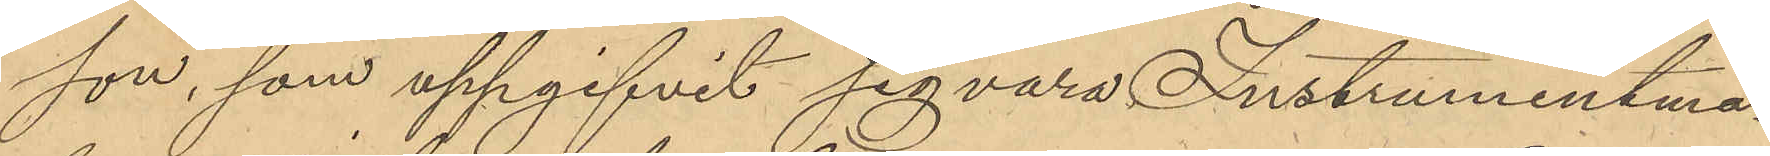son, som uppgifvit sig vara Instrumentma¬
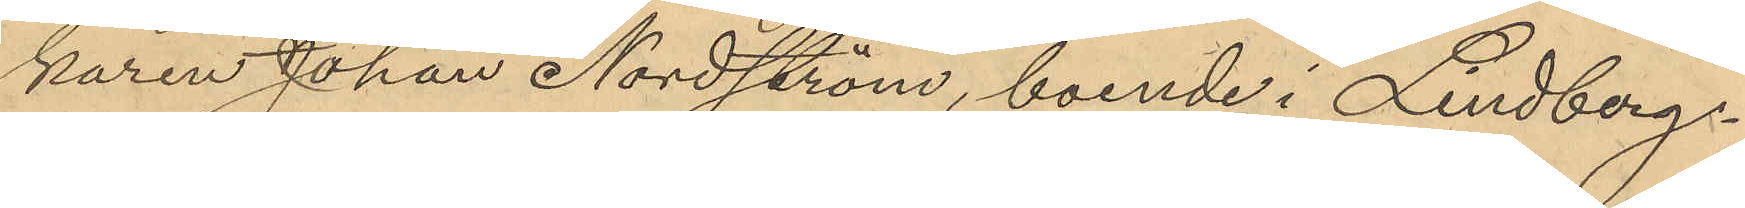karen Johan Nordström, boende i Lindbergs¬
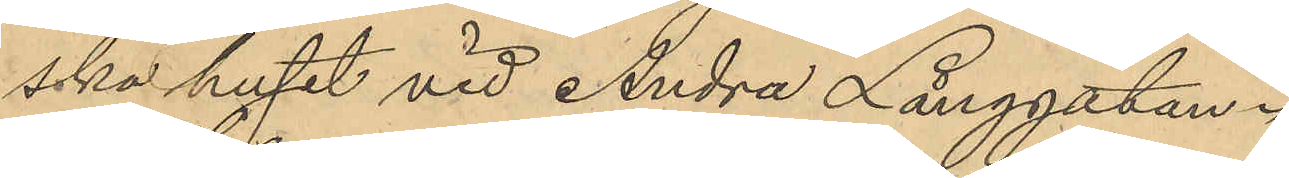ska huset vid Andra Långgatan.
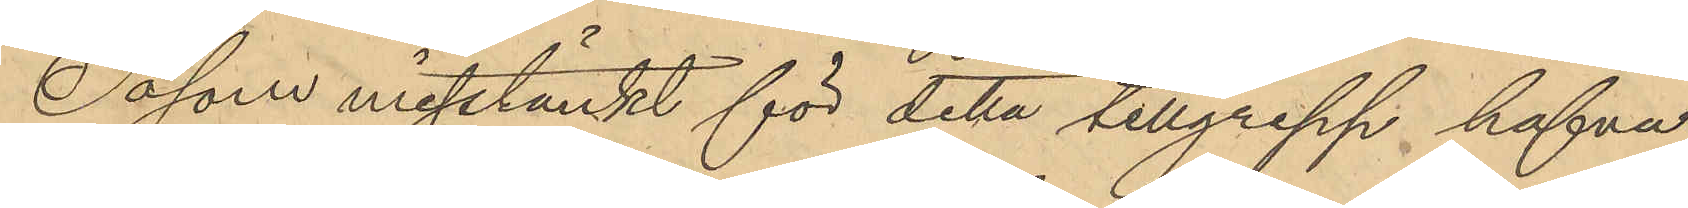Såsom misstänkt för detta tillgrepp hafva
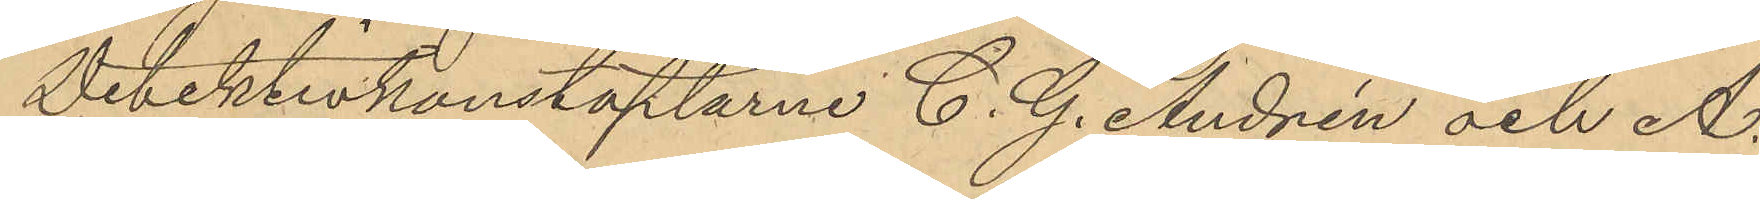Detektivkonstaplarne C. G. Andrén och A.
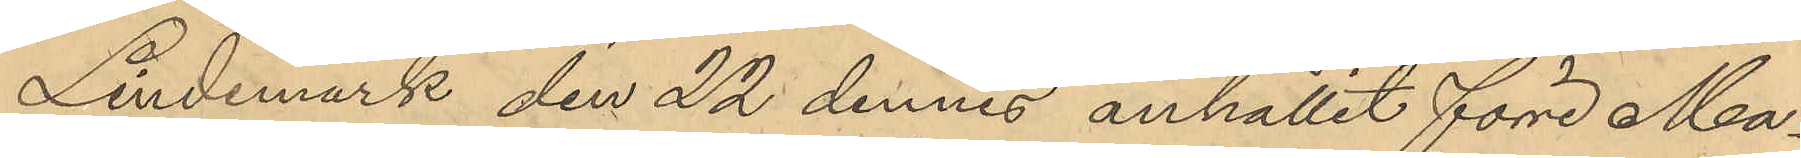Lindemark den 22 dennes anhållit förre Ma¬
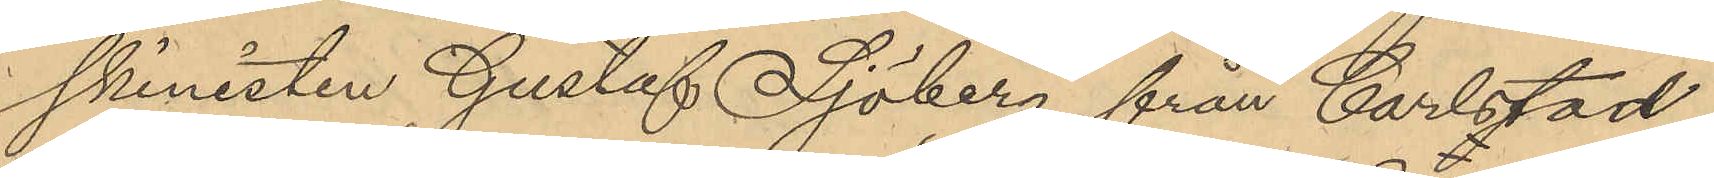skinisten Gustaf Sjöberg från Carlstad
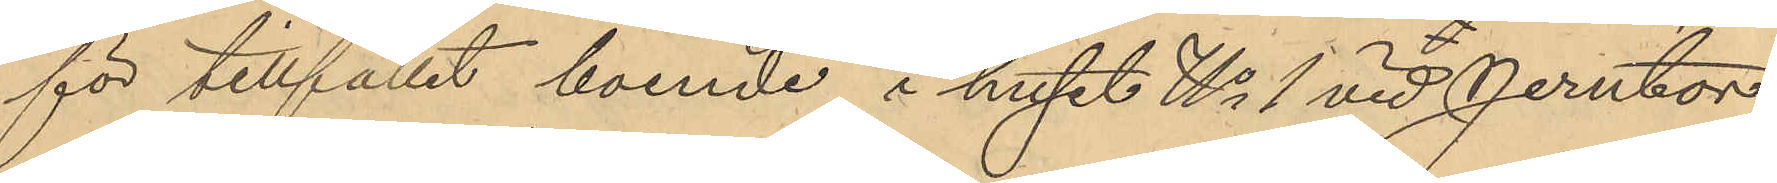för tillfället boende i huset No 1 vid Jerntor¬
